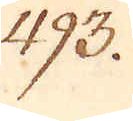493.
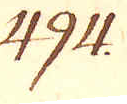494.
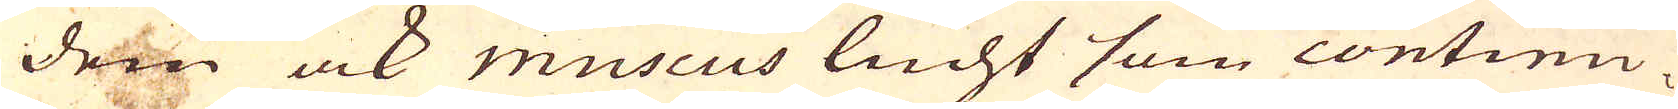dem ock muscus lucht som continu-
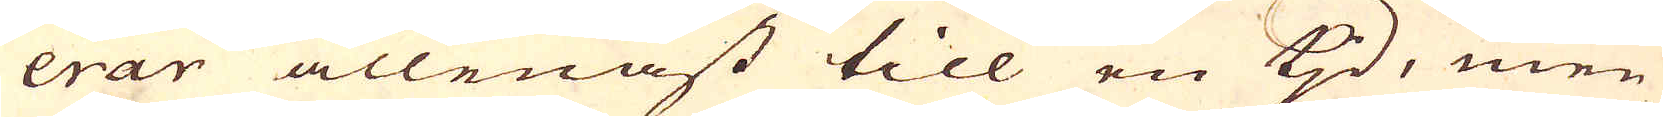erar allenast till en tjd, men
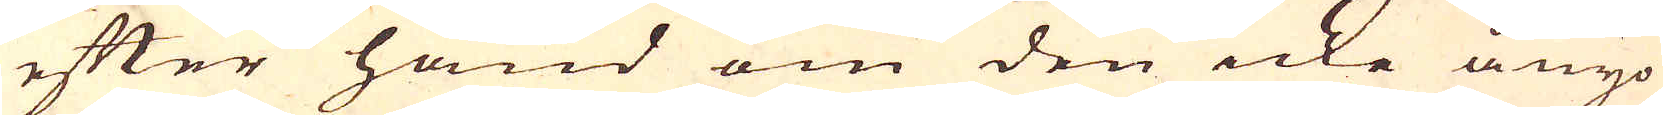efter hand om den icke ånyo
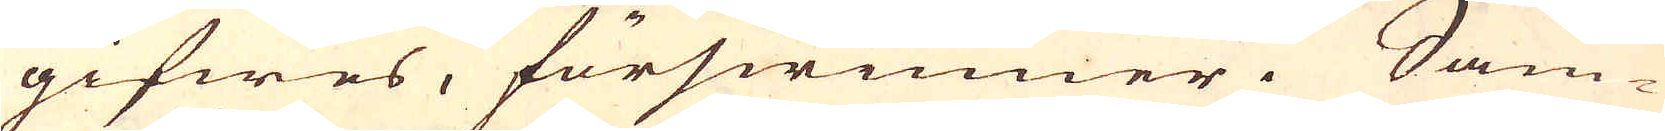gifwes, förswinner. Sam-
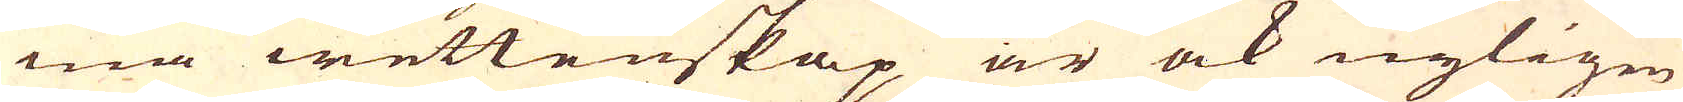ma wettenskap är ock nyligen
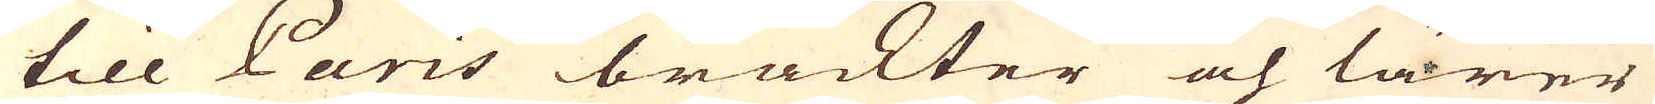till Paris brackter och lärer
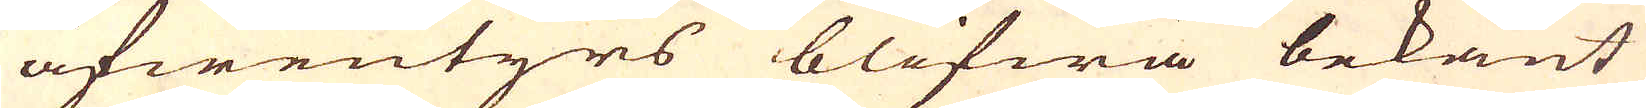äfwentyrs blifwa bekant
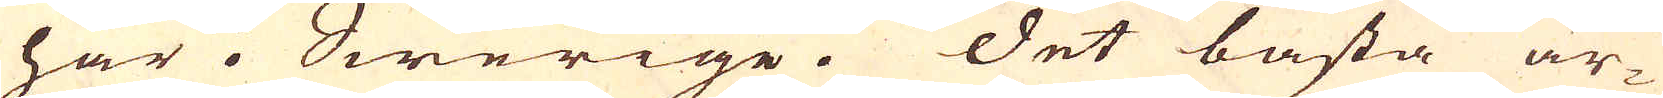här i Swerige. Det bästa ar-
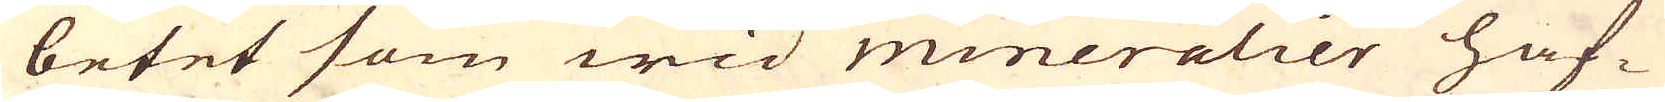betet som wid mineralier haf-
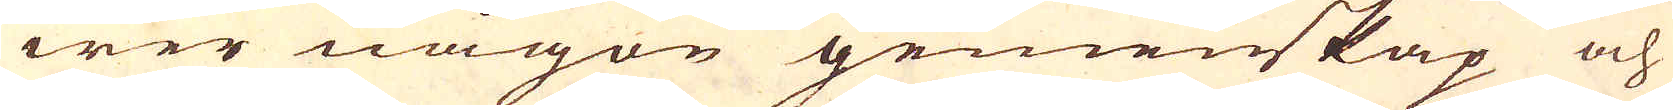wer någon gemenskap och
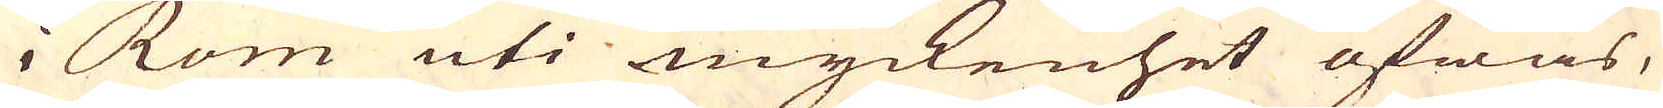i Rom uti myckenhet öfwas,
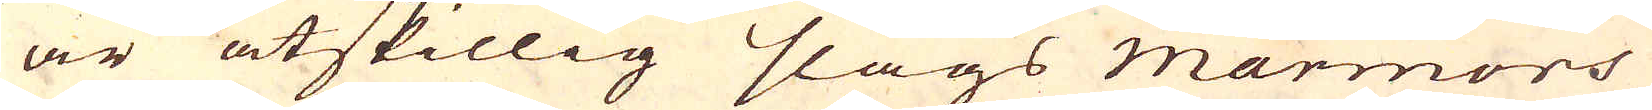är åtskillig slags marmors
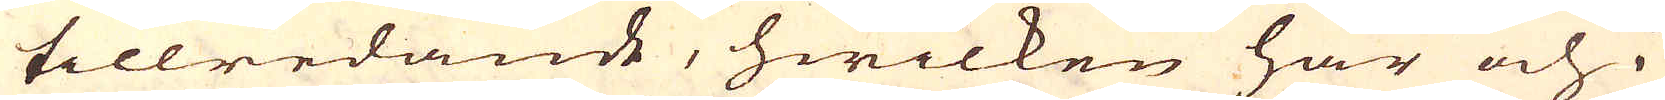tillredande, hwilken här och i
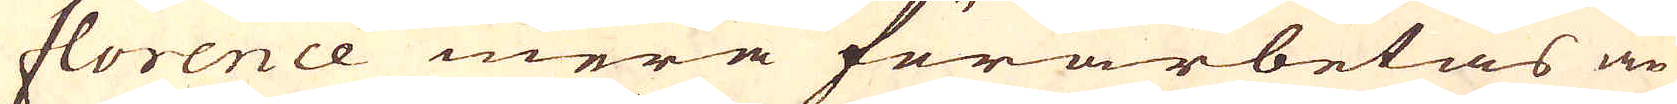florence mera förarbetas än
